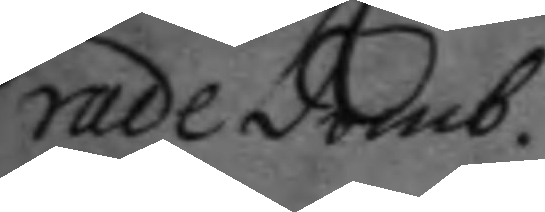rade domb.
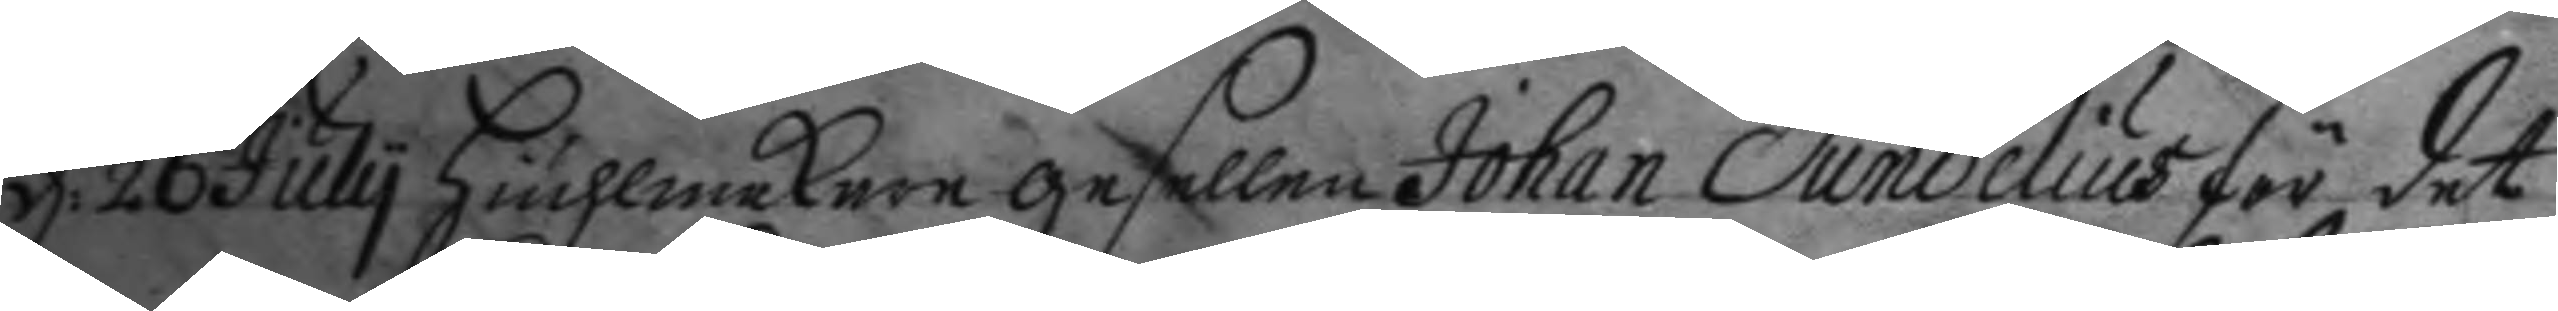d: 26 July Hiulmakare gesellen Johan Sundelius för det
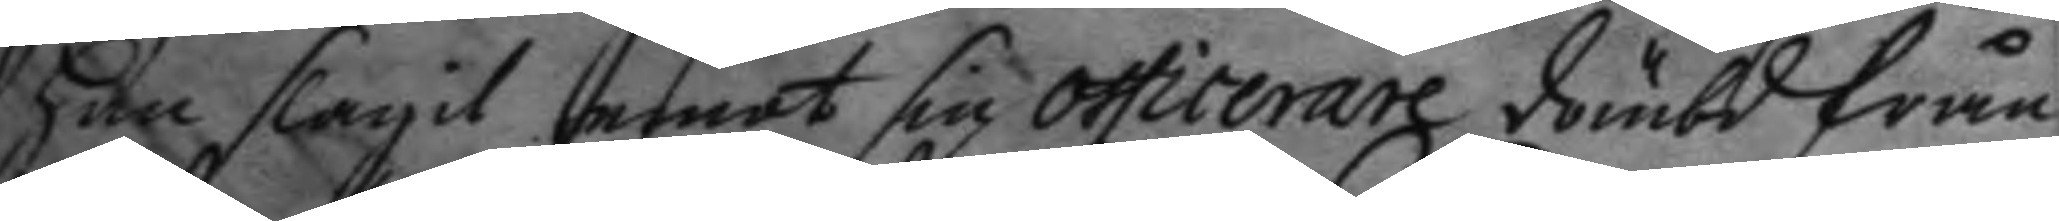han slagit emot sin officerare dömbd från
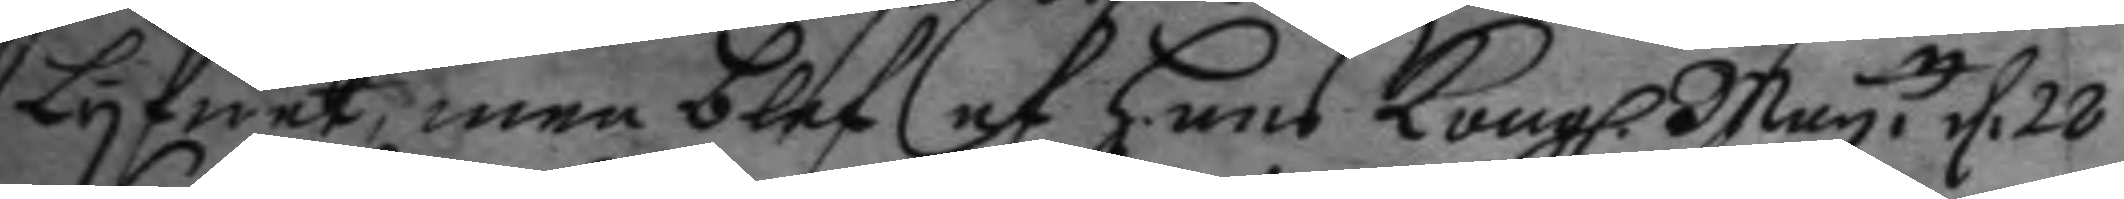Lyfwet, men blef af hans Kongl. May.tt d. 28
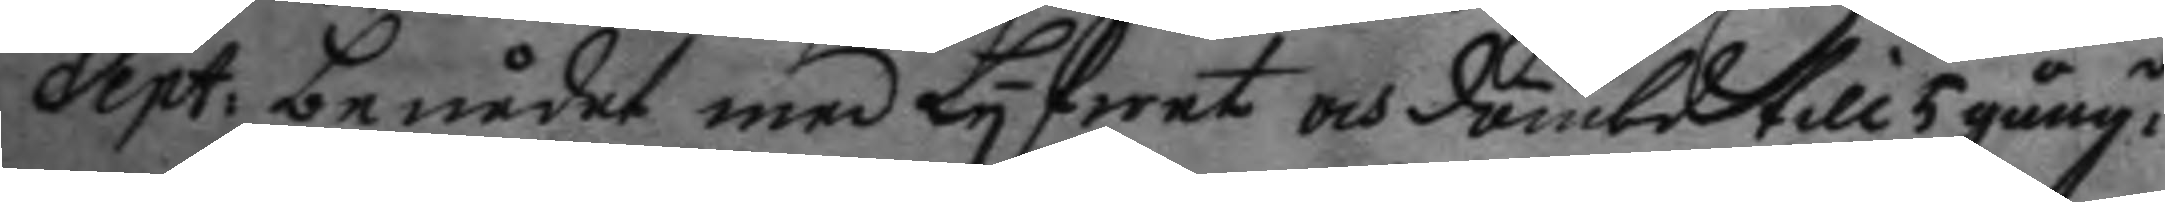Sept: benådat med Lyfwet och dömbd till 5 gång:r
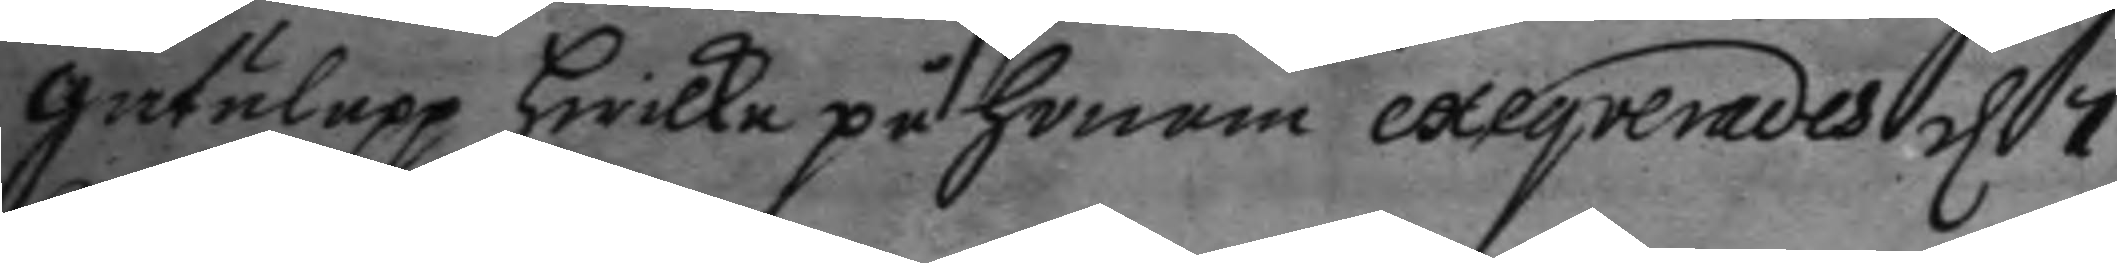gatulopp hwilka på honom exeqverades d 7
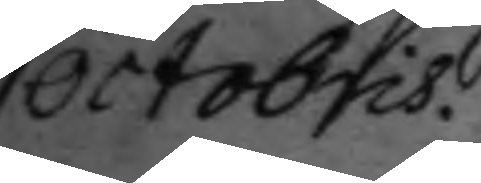octobris.
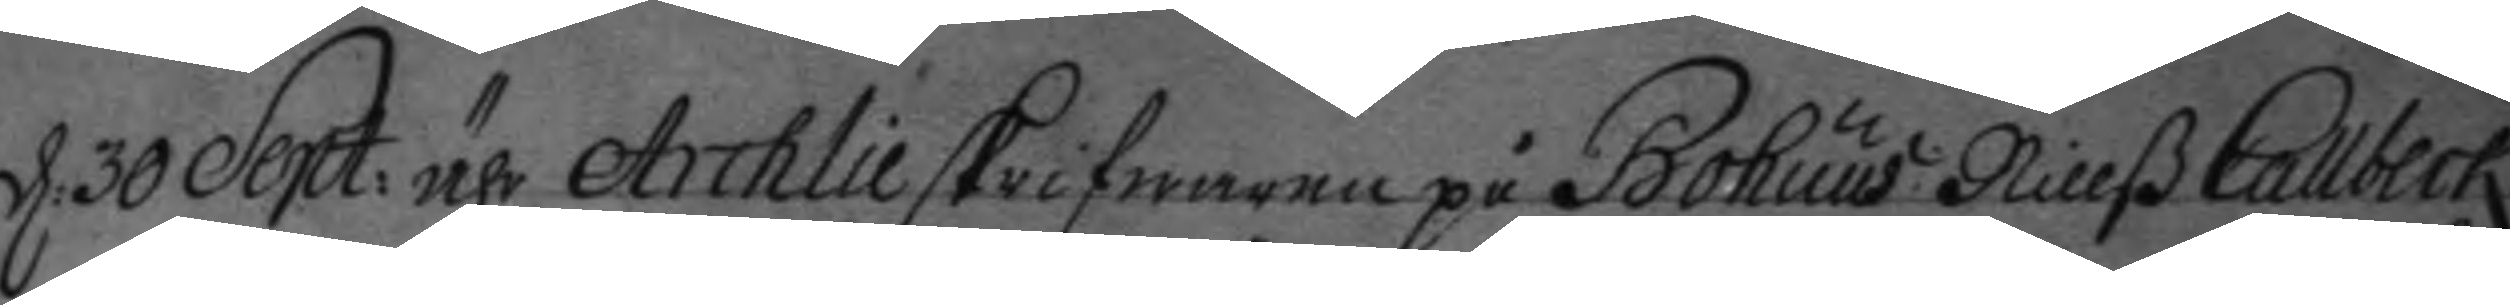d. 30 Sept: ähr Archlieskrifwaren på Bohuus Nillß Callbeck
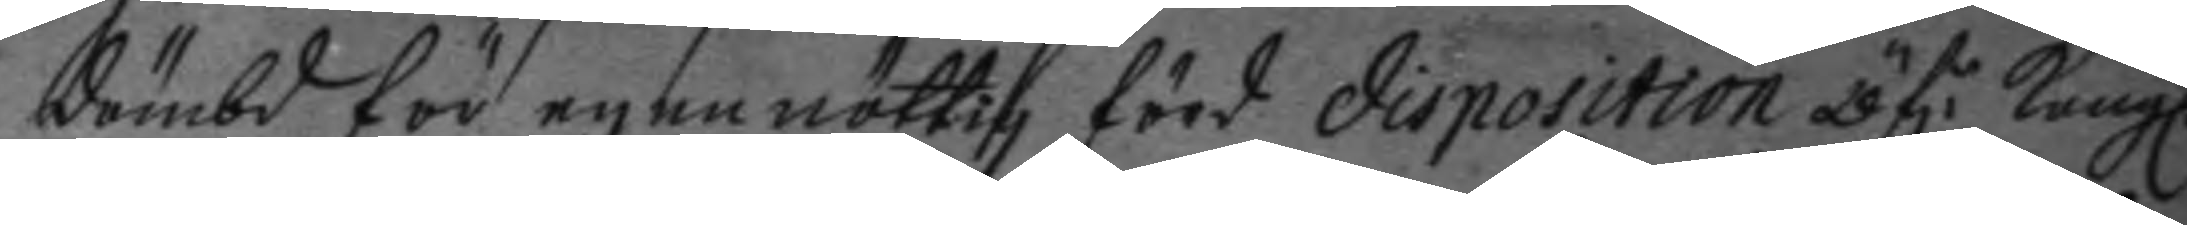dömbd för egen nöttig förd disposition öf:r Kongl.
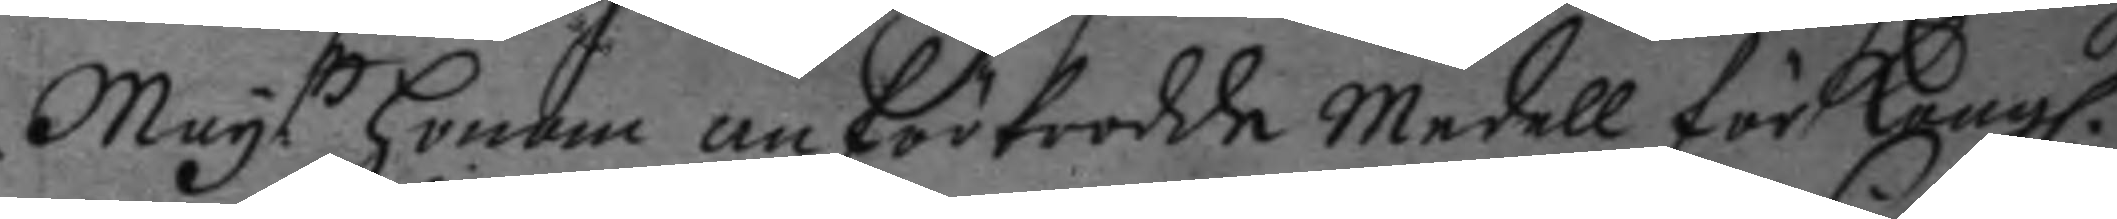May.tt honom anförtrodde medell för Kongl.
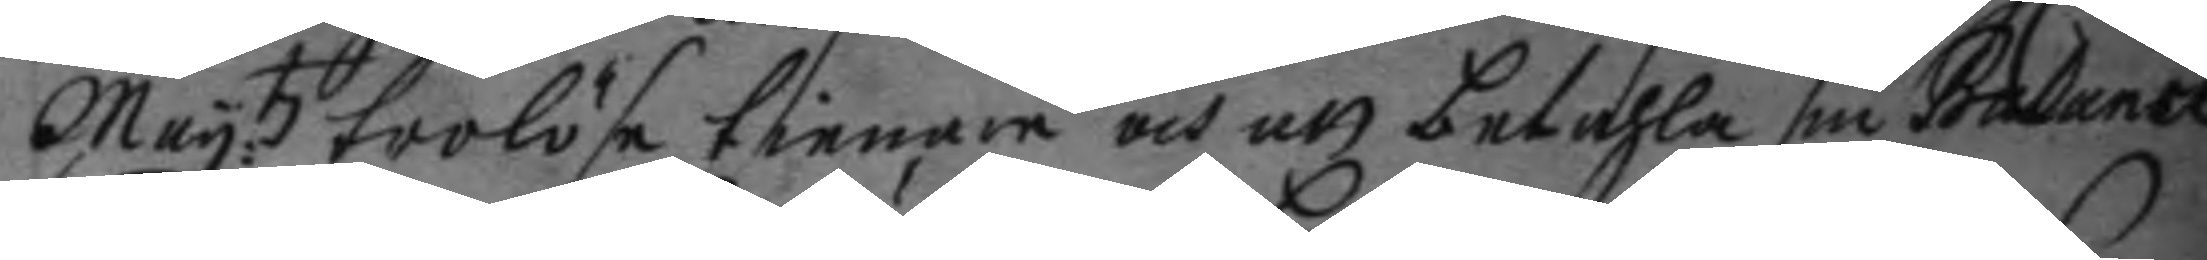May:tz trolöse tienare och att betahla sin Balance
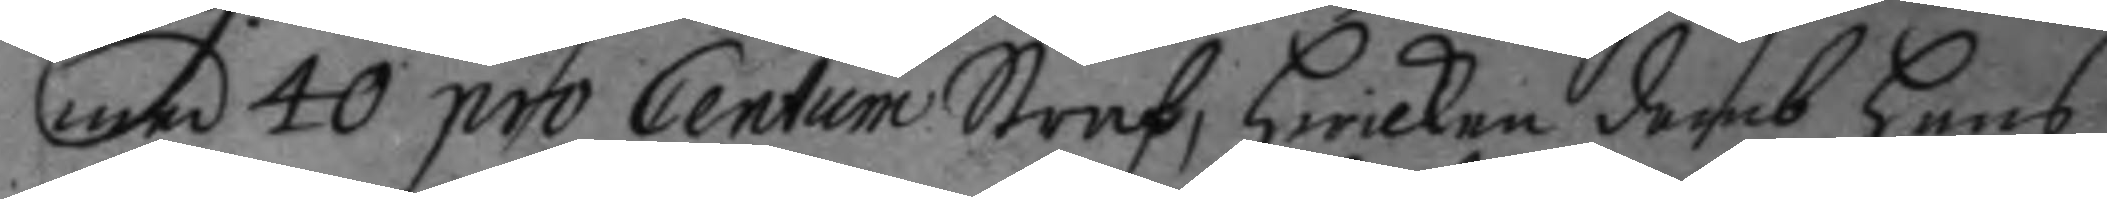med 40 pro Centum Straf, hwilken domb hans
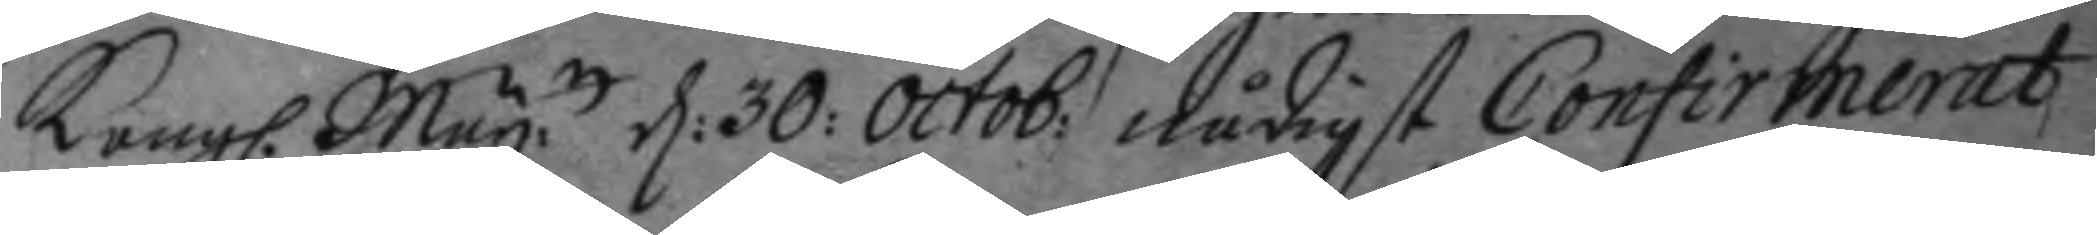Kongl. May.tt d: 30: octob: nådigt Confirmerat,
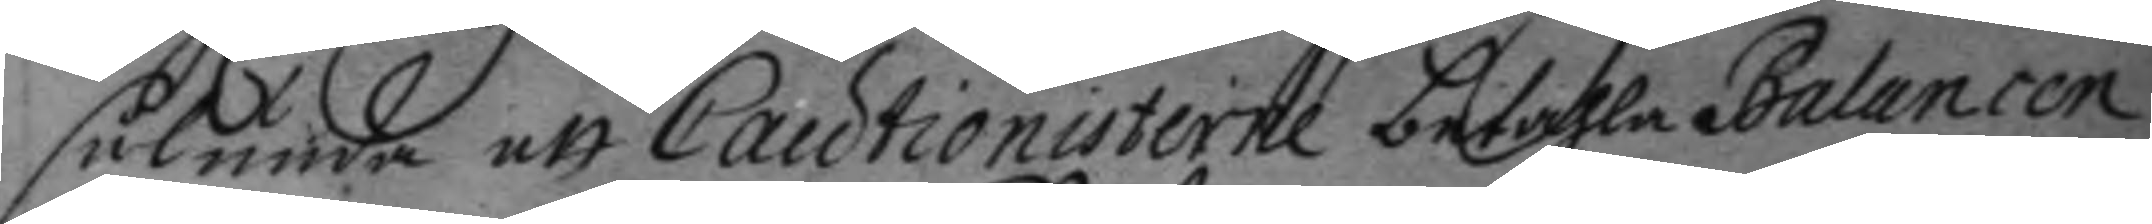sålunda att Cautionisterie betahla Balancen
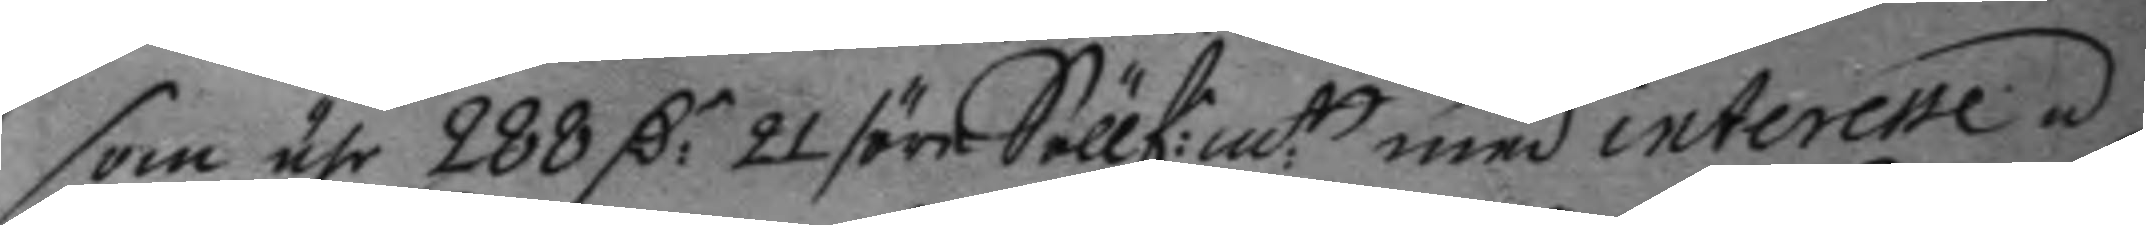som ähr 288 C:r 21 / öre Söllf:m:t med interesse á
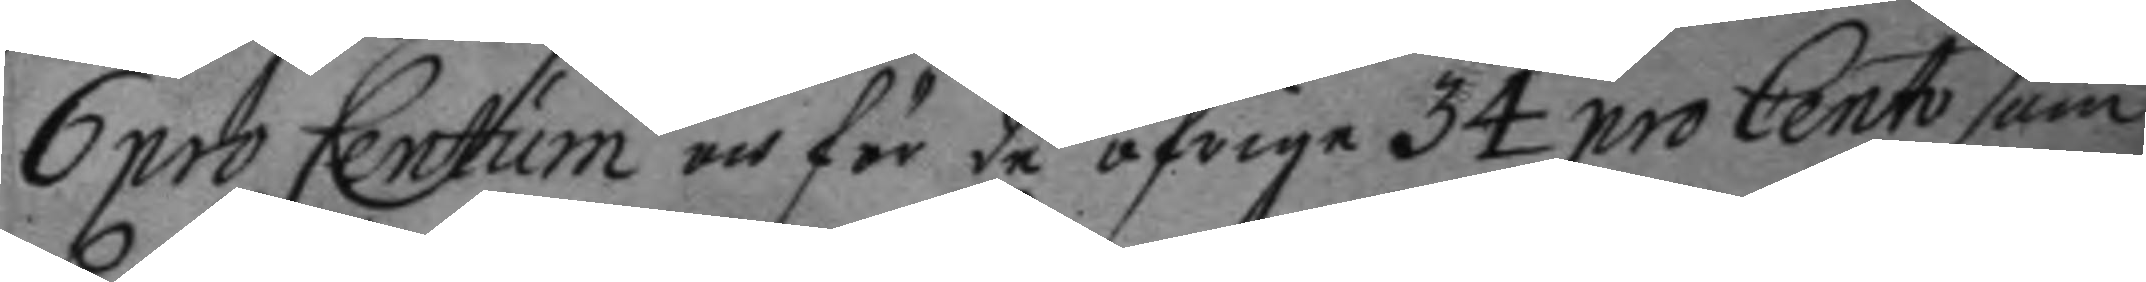6 pro Centum och för de öfrige 34 pro Centh som
